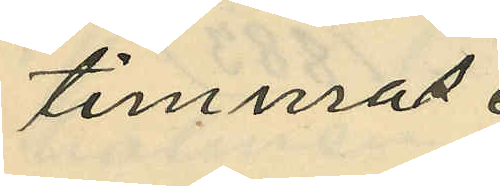timmas
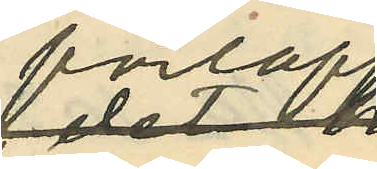förlopp
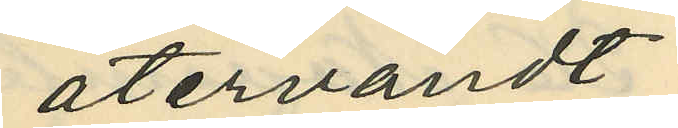återvändt till
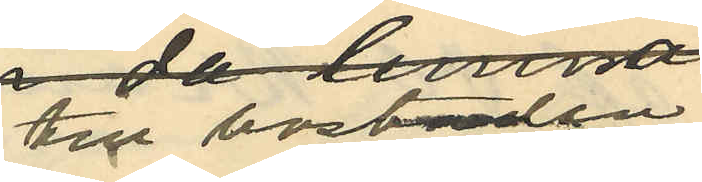bostaden,
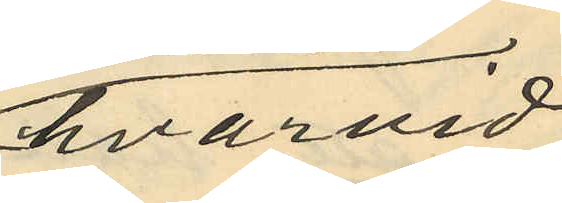hvarvid
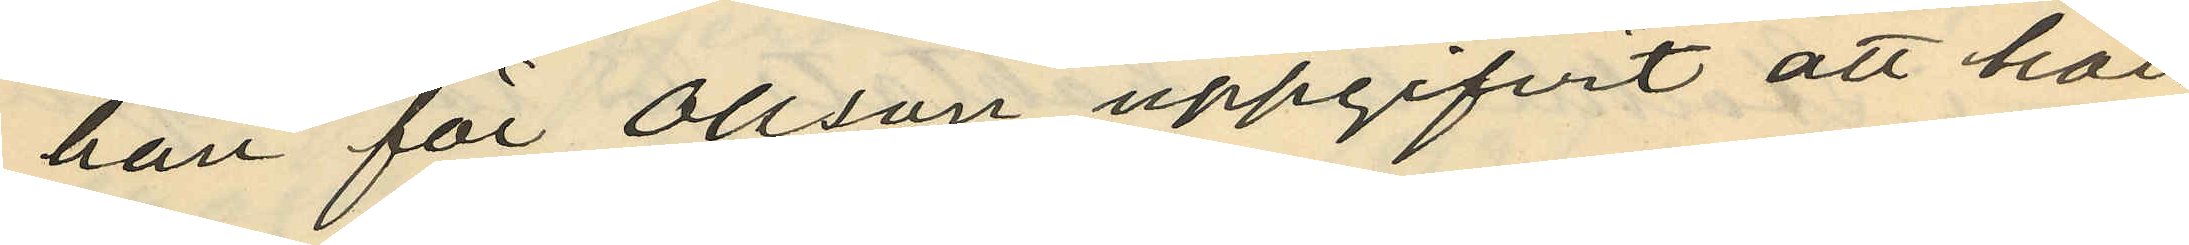han för Olsson uppgifvit att han
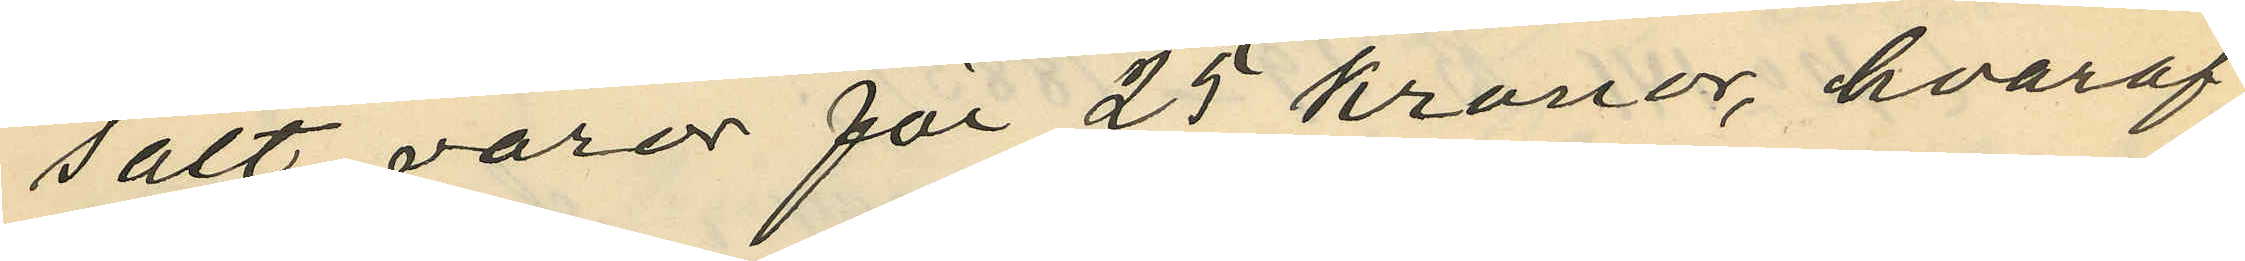sålt varor för 25 kronor, hvaraf
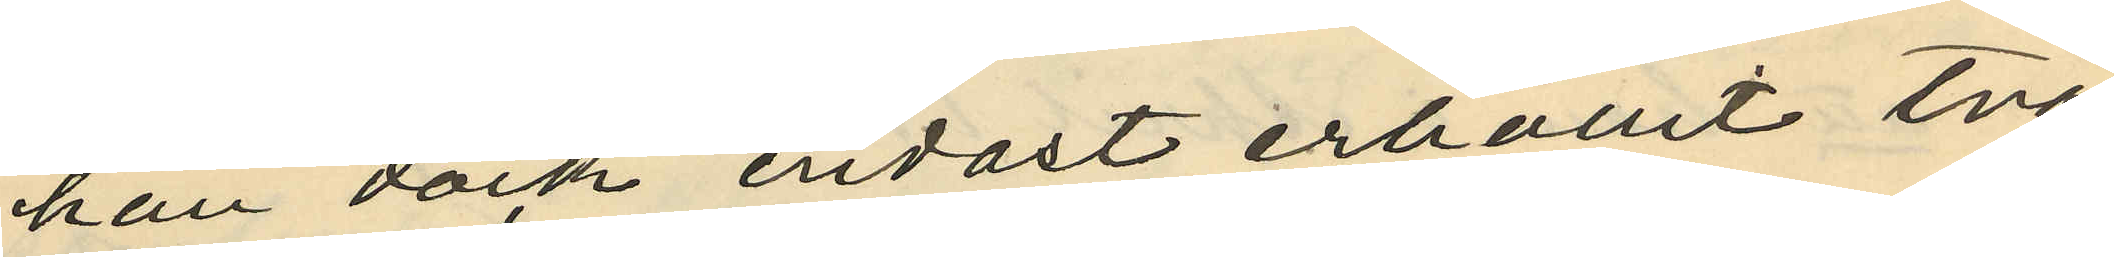han dock endast erhållit två
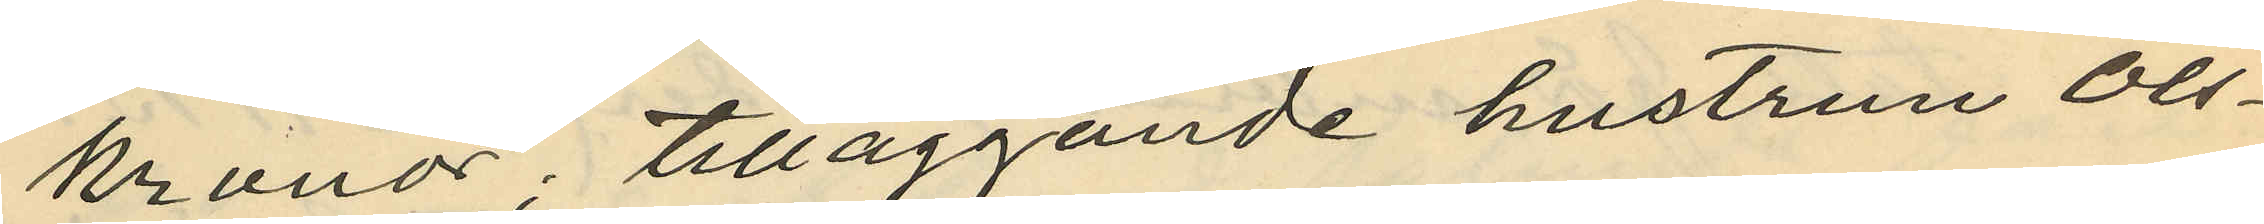kronor; tilläggande hustrun Ols¬
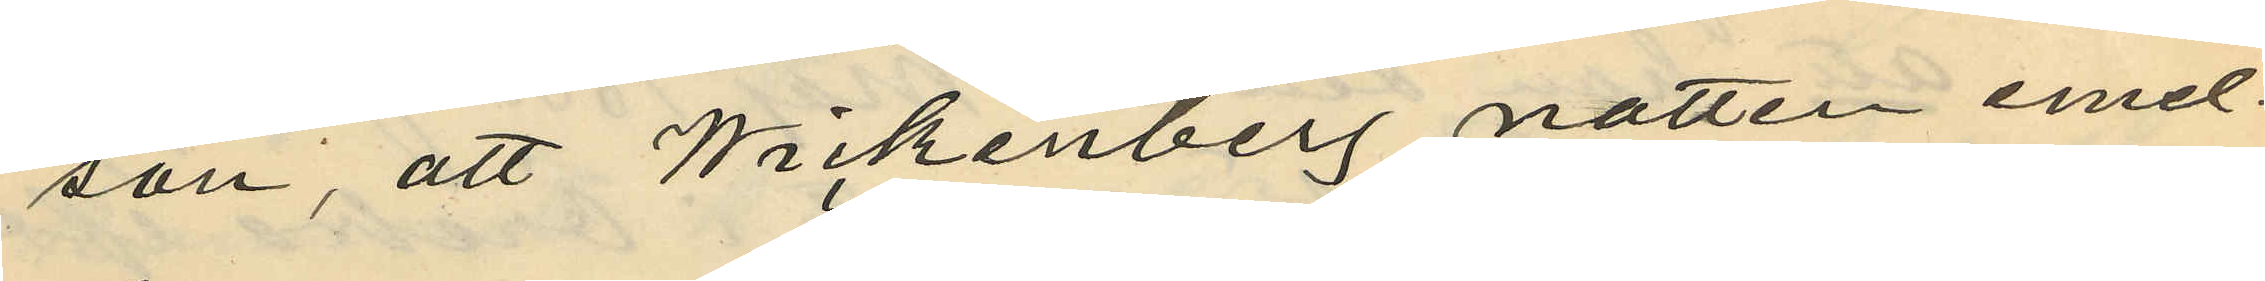son, att Wickenberg natten emel¬
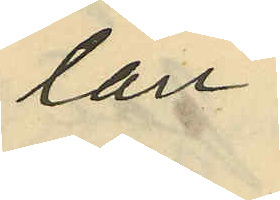lan
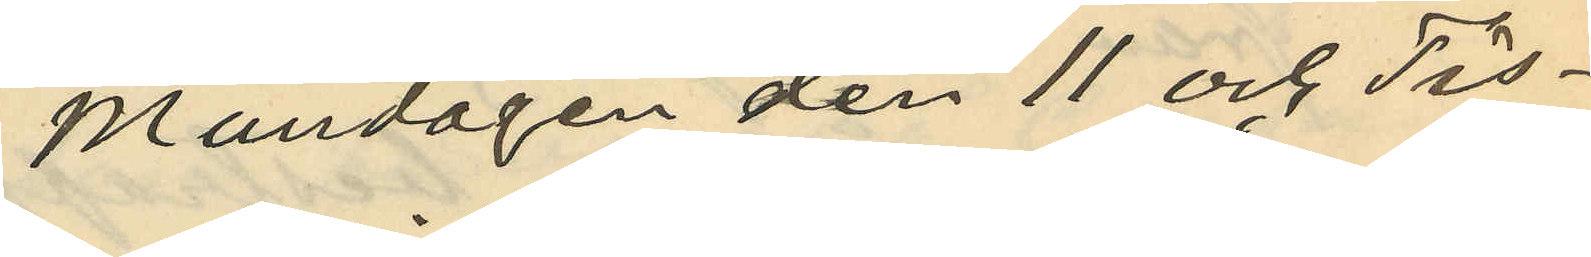Måndagen den 11 och Tis¬
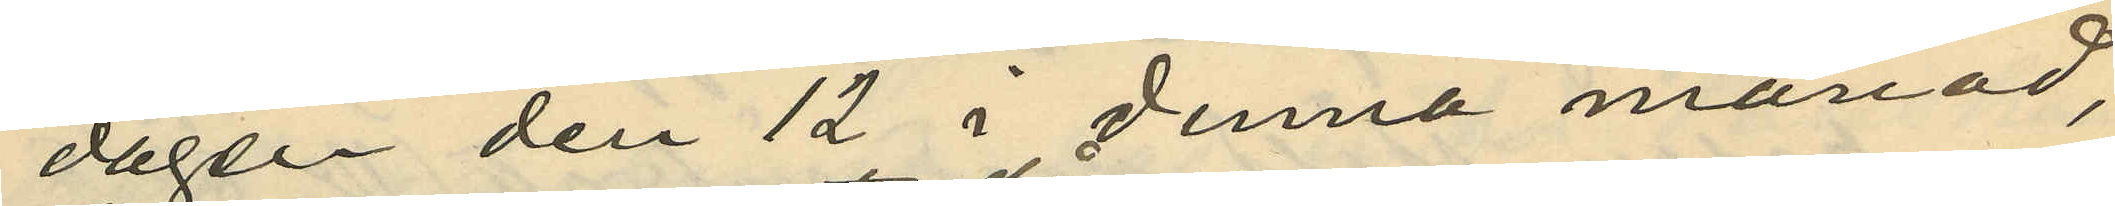dagen den 12 i denna månad,
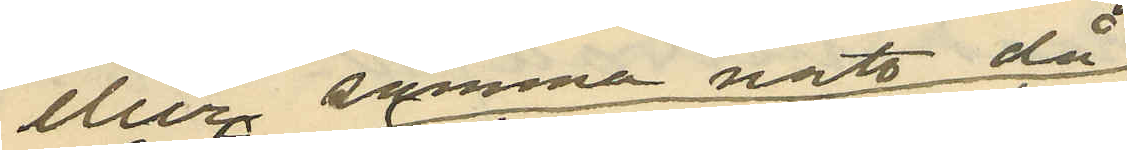eller samma natt då
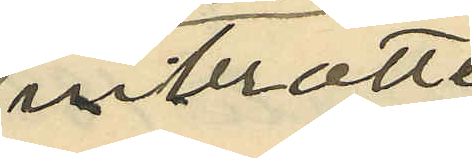inbrott
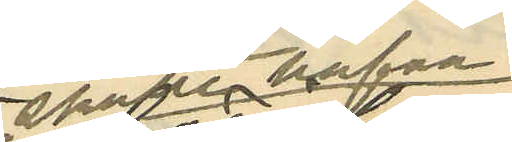skulle hafva
